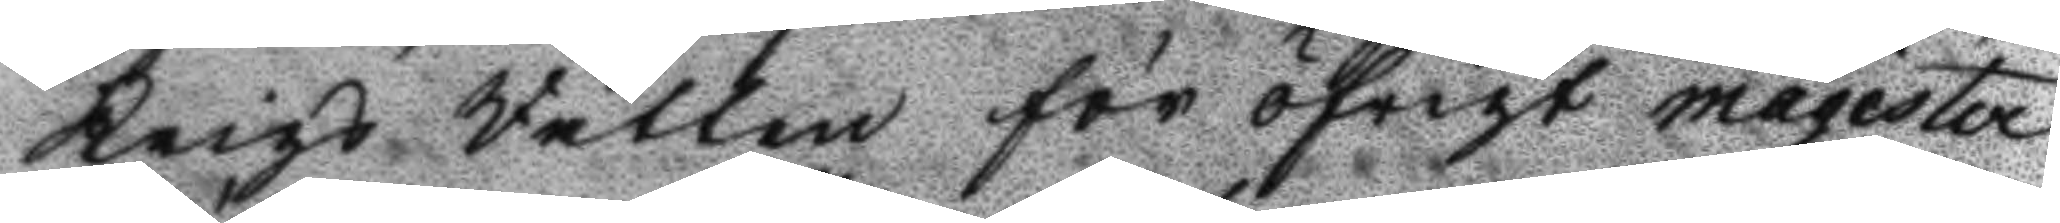Krigs Rätten för  öfrigt magister
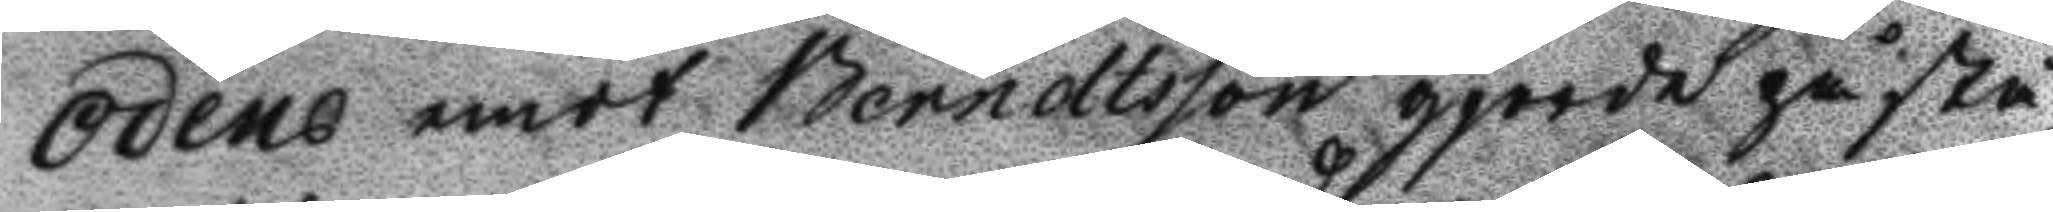Odéns emot Berndtsson gjorde påstå¬
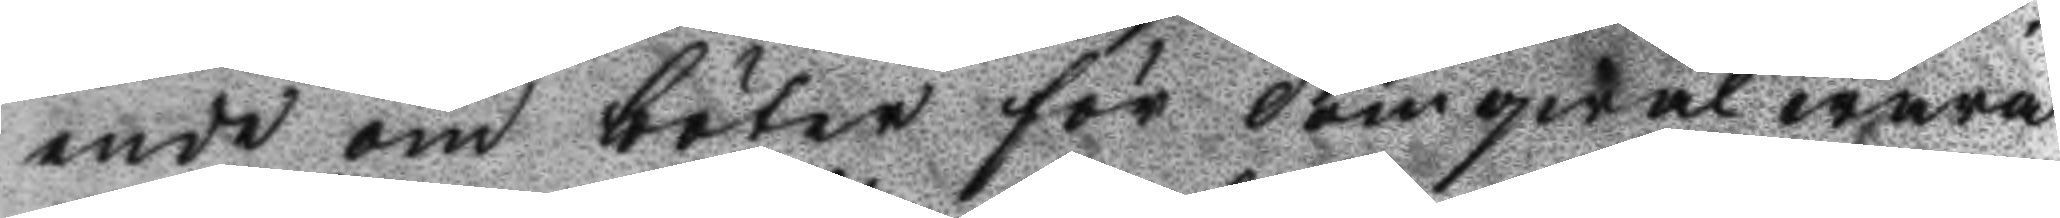nede om böter för domqwal wara
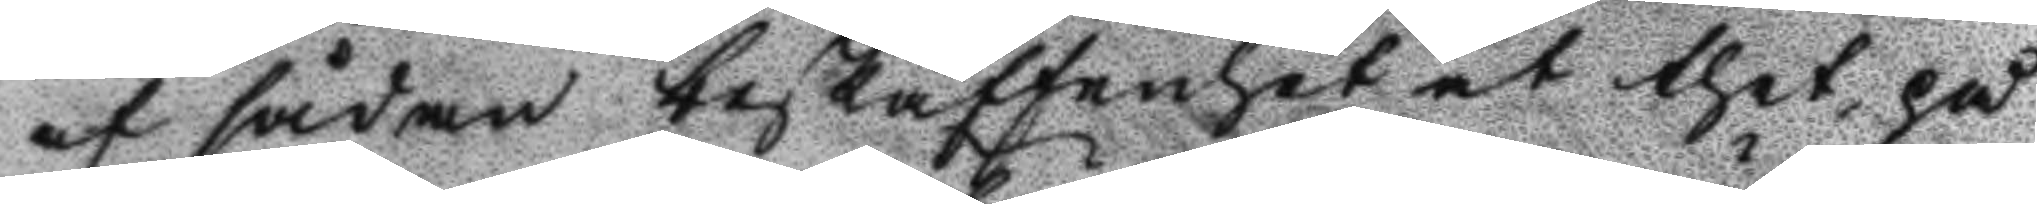af sådan beskaffenhet at thet på
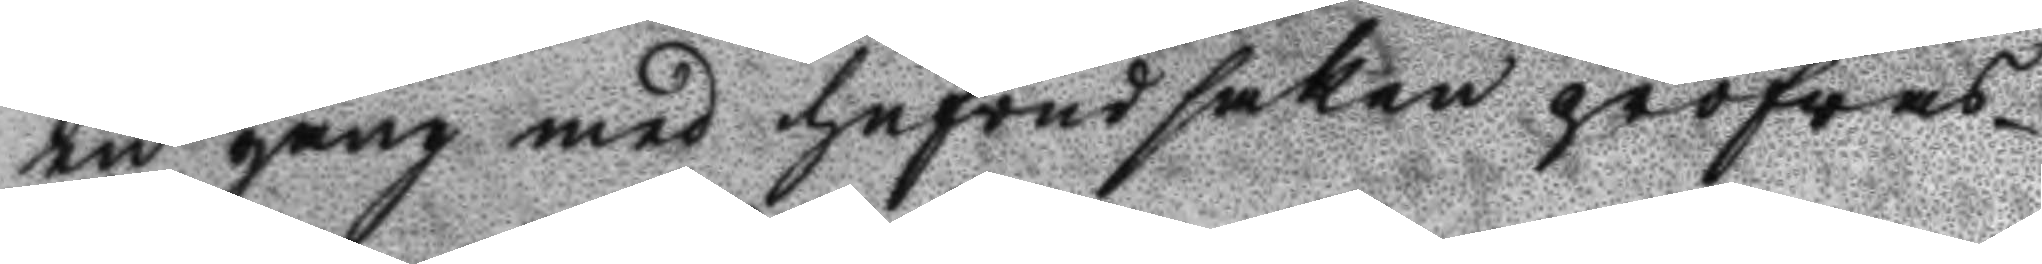en gång med hufvudsaken pröfwas
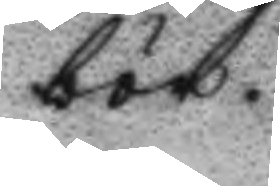bör.
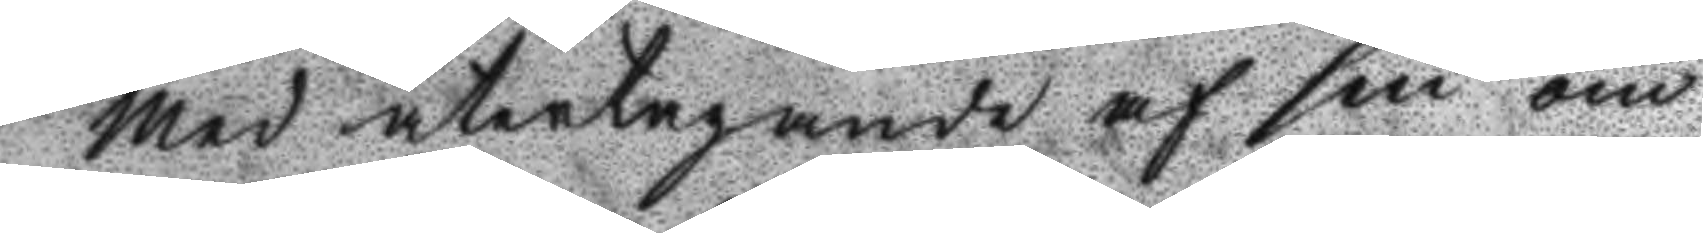Med återtagande af sin om
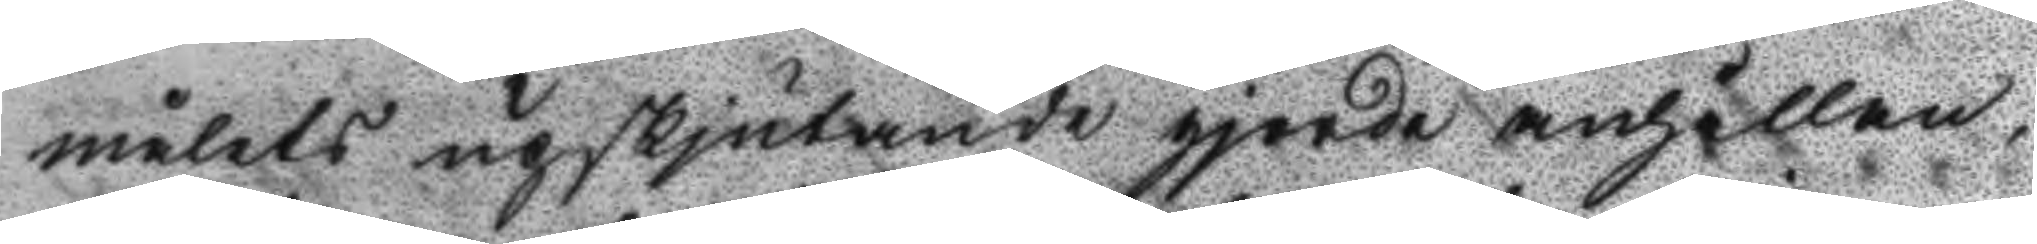målets upskjutande gjorde anhållan
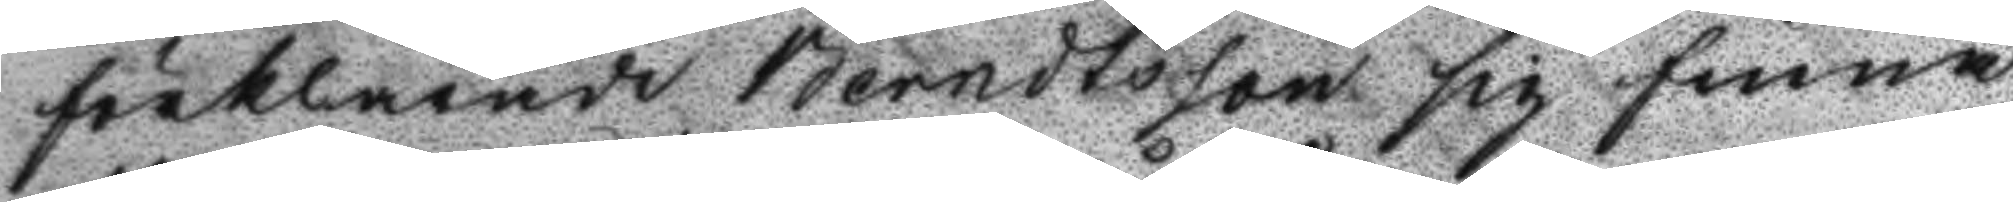förklarade Berndtsson sig finna
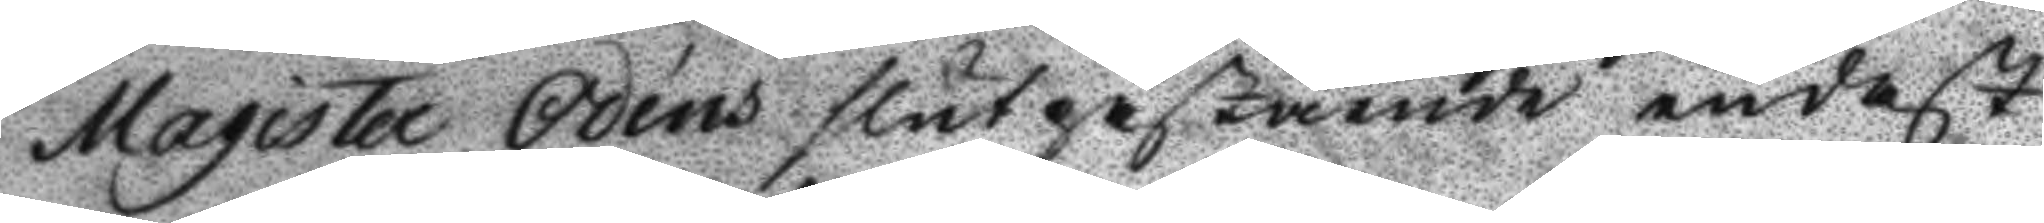Magister Odéns slutpåstående endast
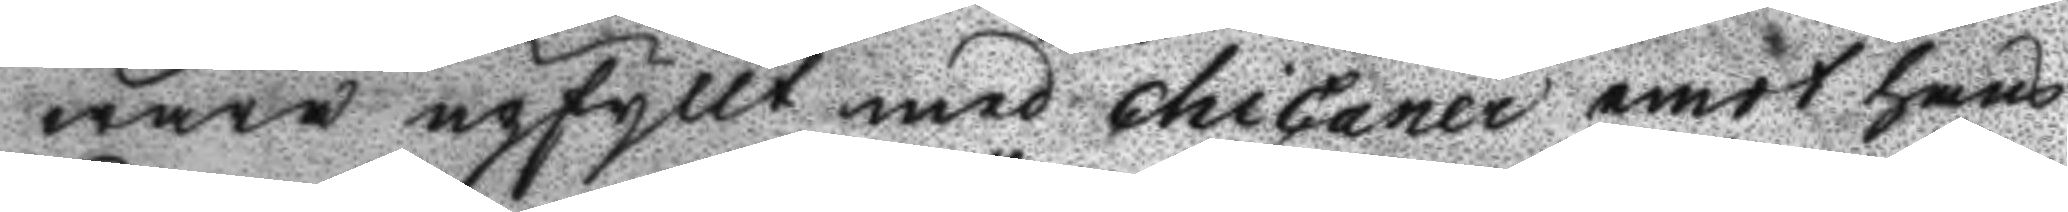wara upfyllt med chicaner emot hans
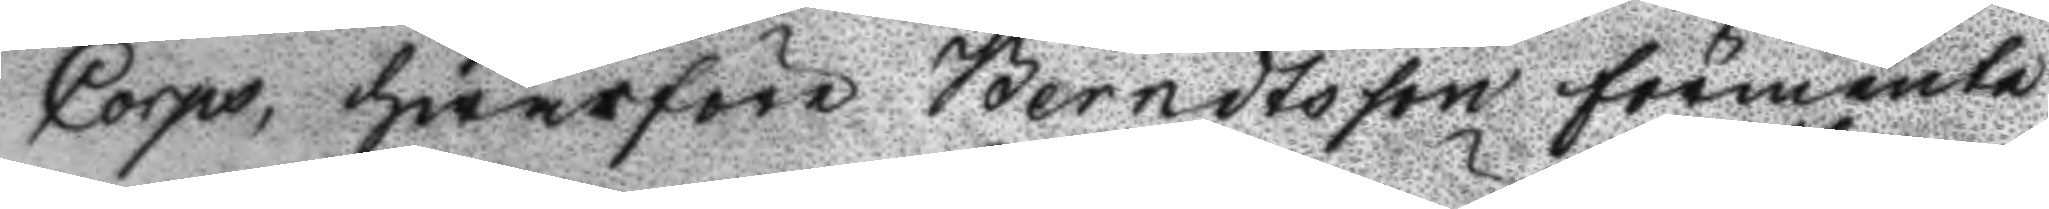Corps, hwarföre Berndtsson förmente
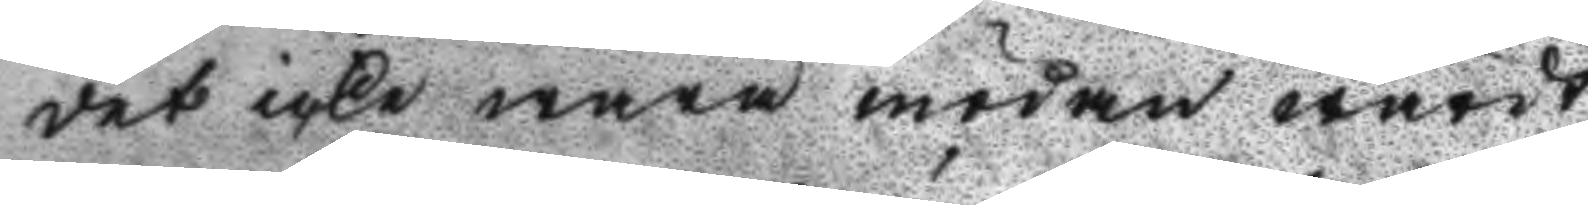det icke wara mödan wärdt
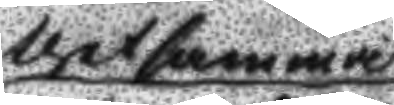thetsamma
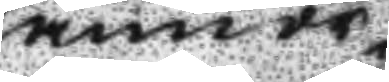annor¬
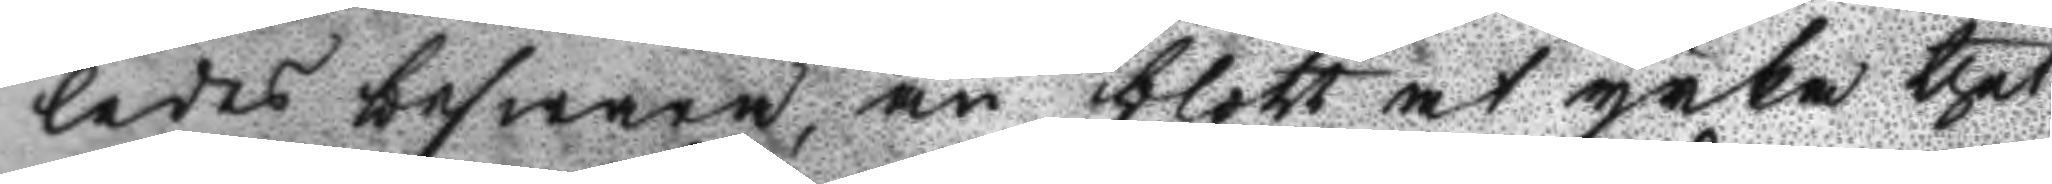ledes beswara, än blott at yrka thet
